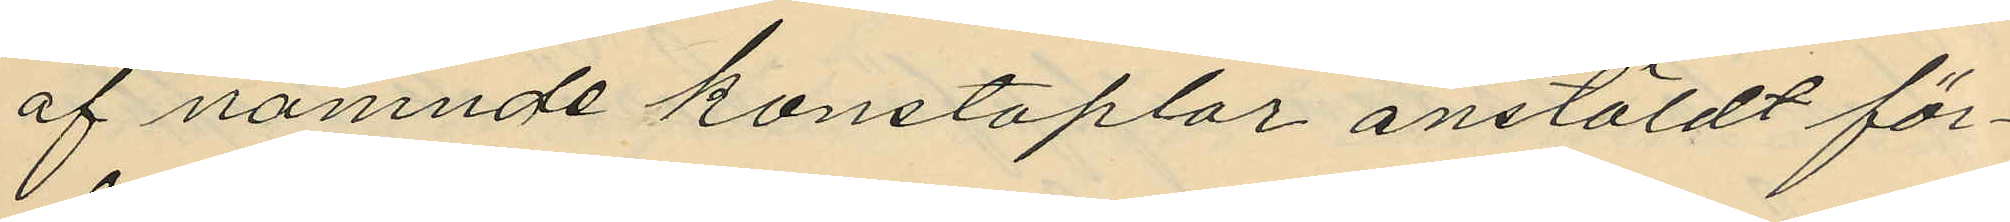af namnde konstaplar anstäldt för¬
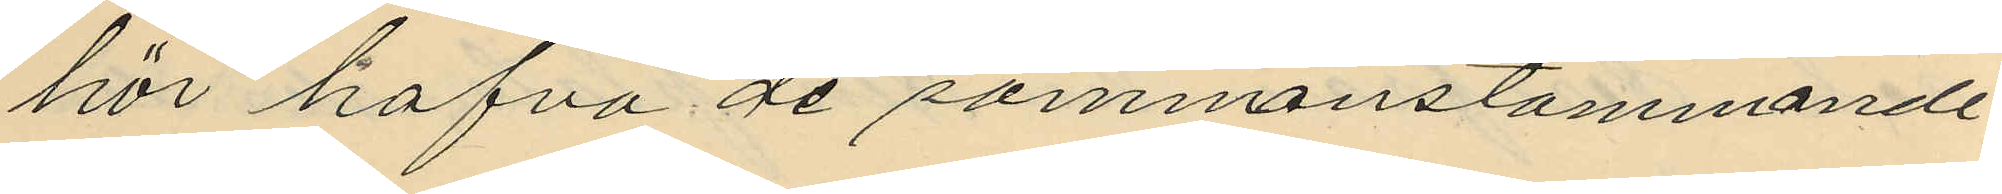hör hafva de sammanstämmande
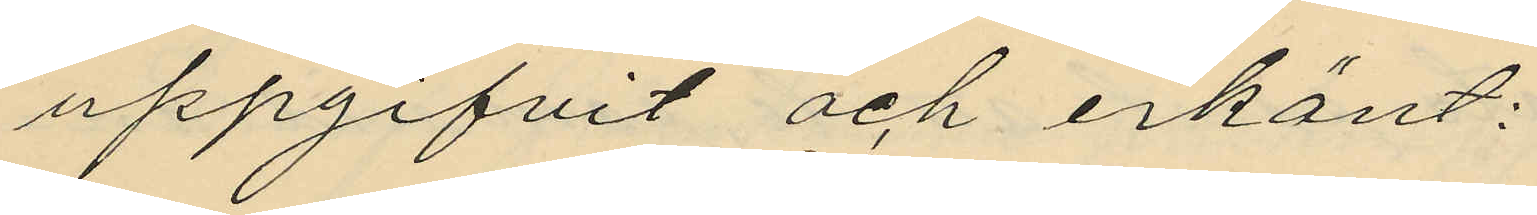uppgifvit och erkänt:
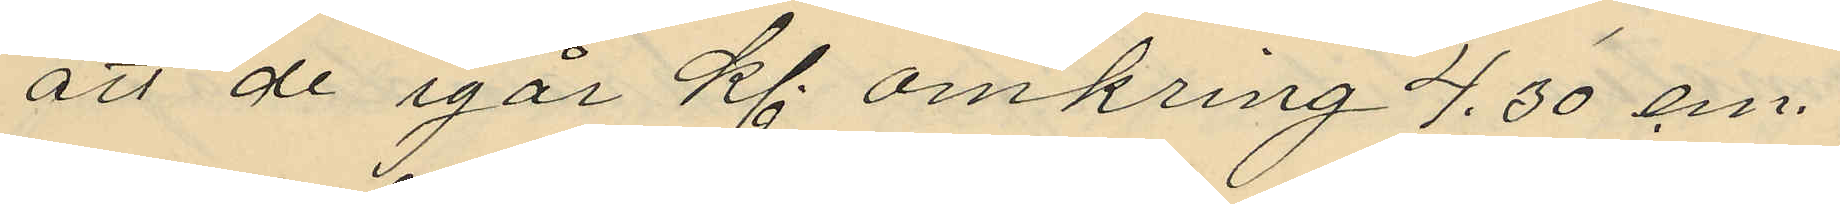att de igår kl. omkring 4,30 em.
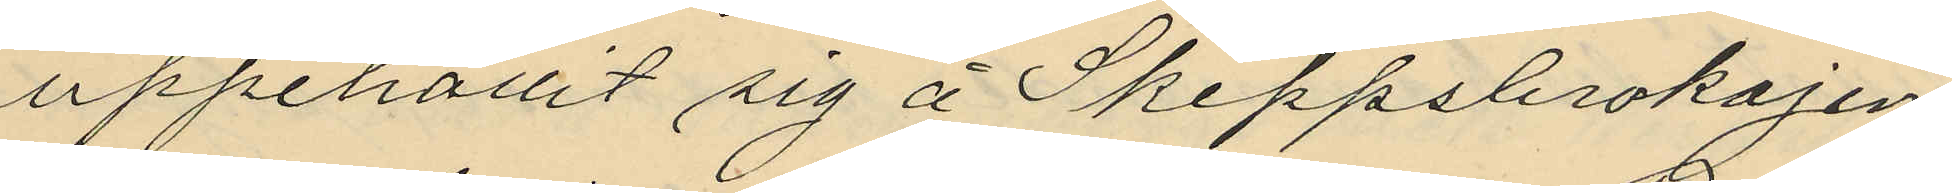uppehållit sig å Skeppsbrokajen
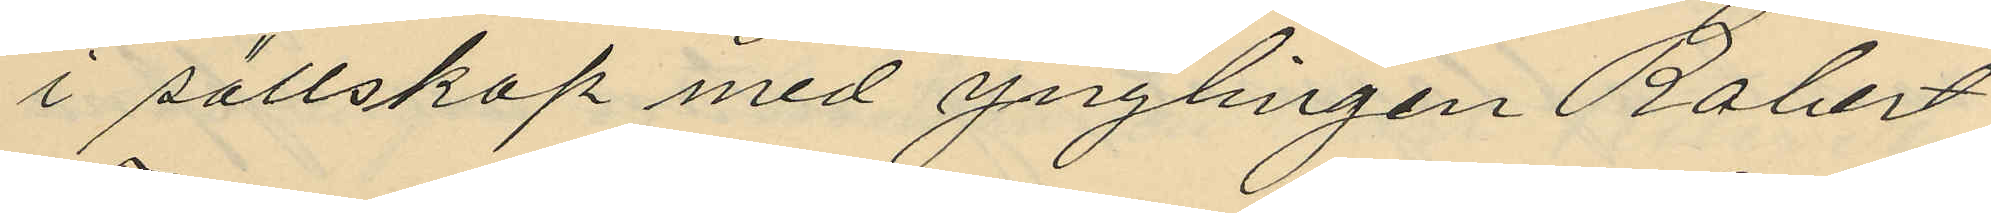i sällskap med ynglingen Robert
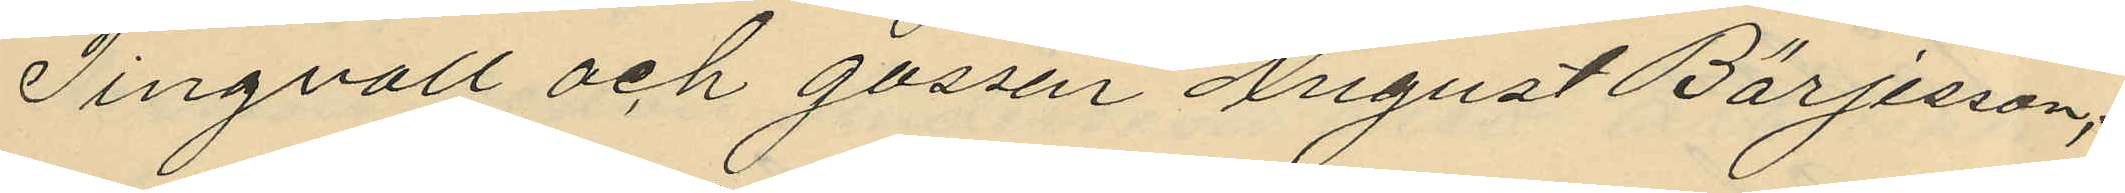Tingvall och gossen August Börjesson;
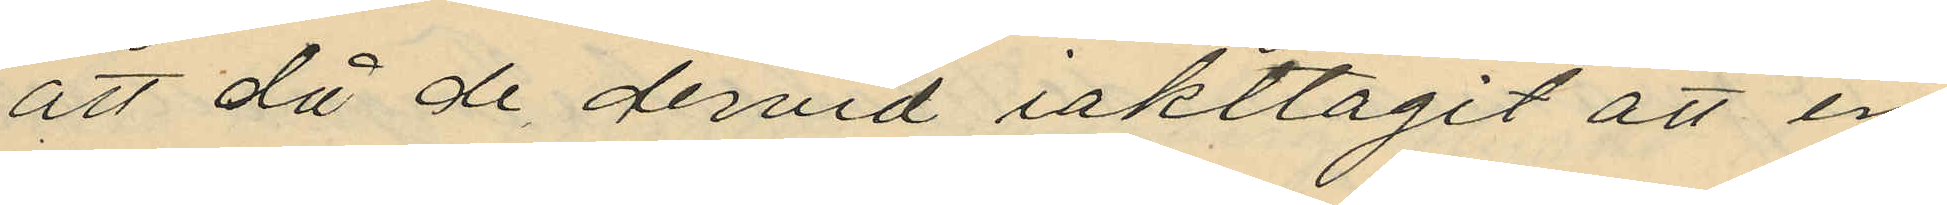att då de dervid iakttagit att en
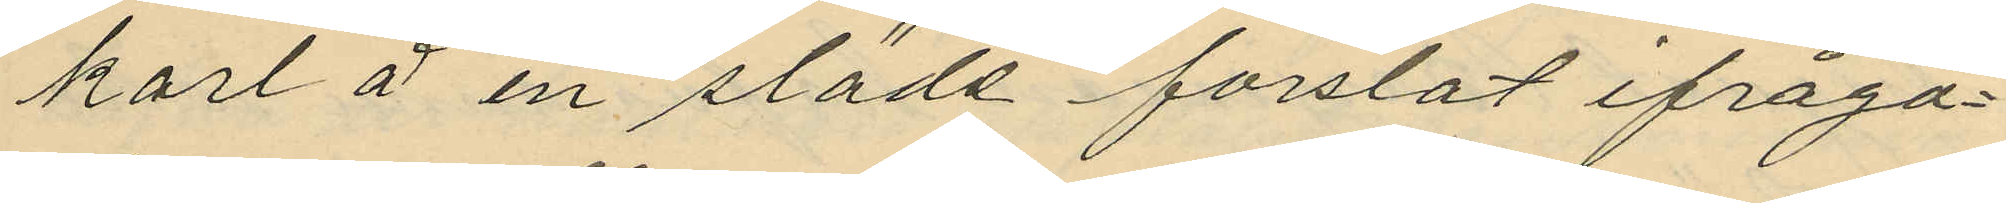karl å en släde forslat ifråga¬
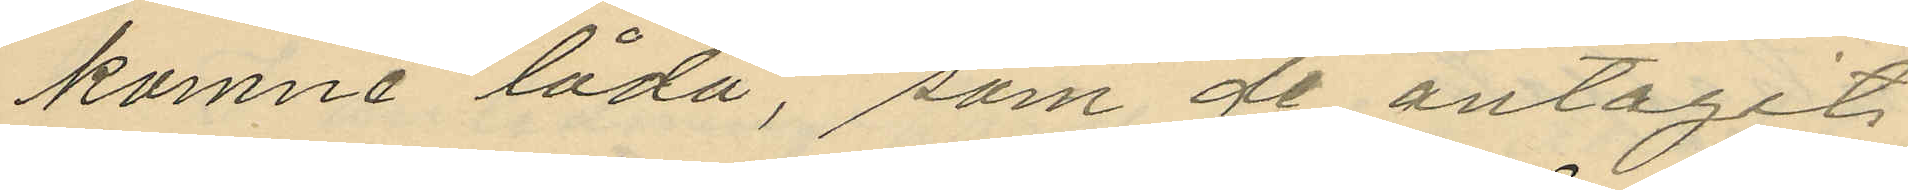komne låda, som de antagit
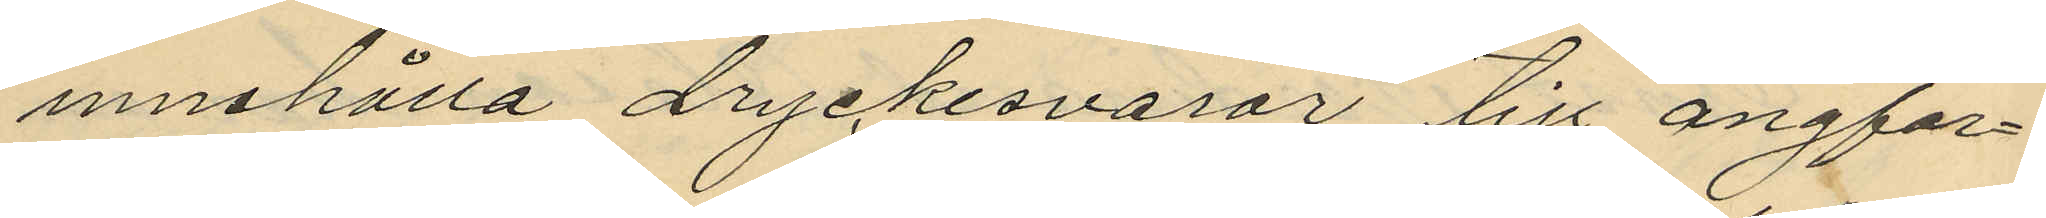innehålla dryckesvaror till ångfar¬
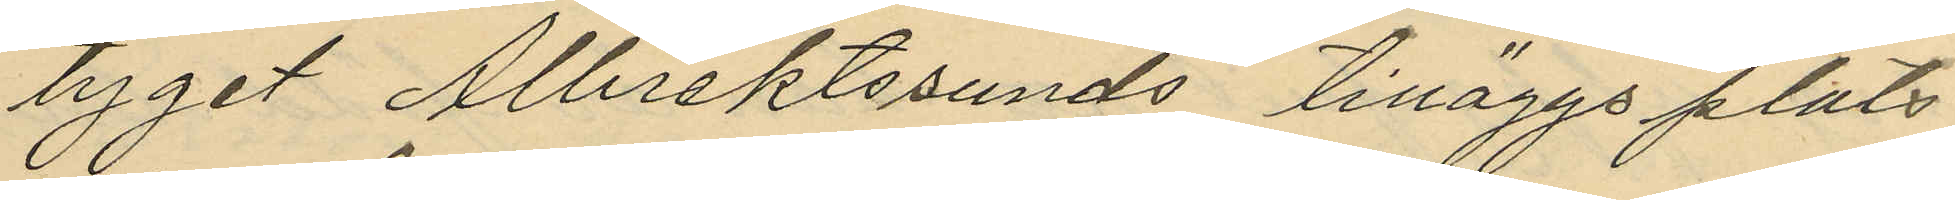tyget Albrektssunds tilläggsplats
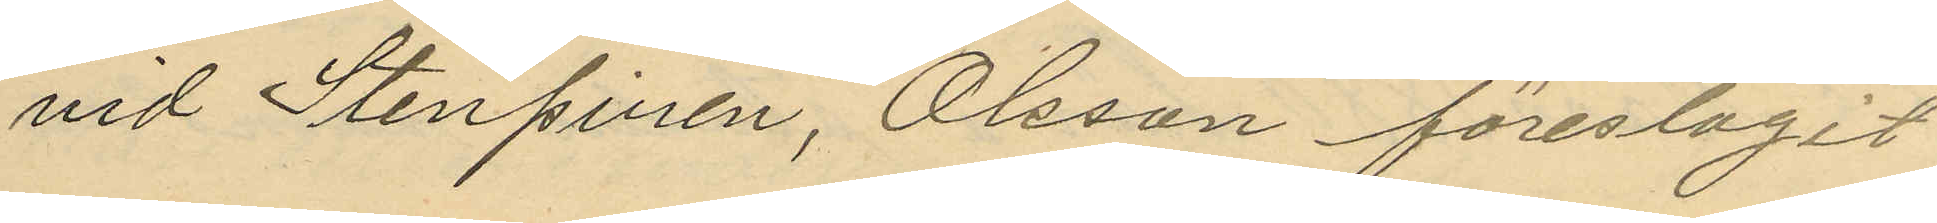vid Stenpinen, Olsson föreslagit
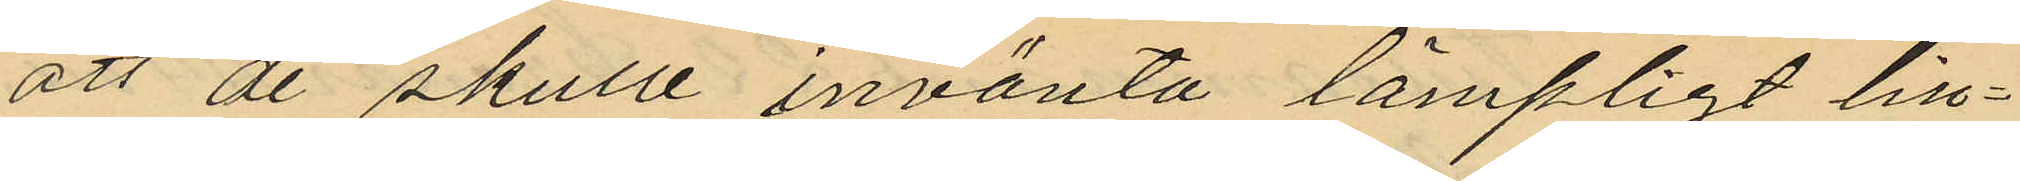att de skulle invänta lämpligt till¬
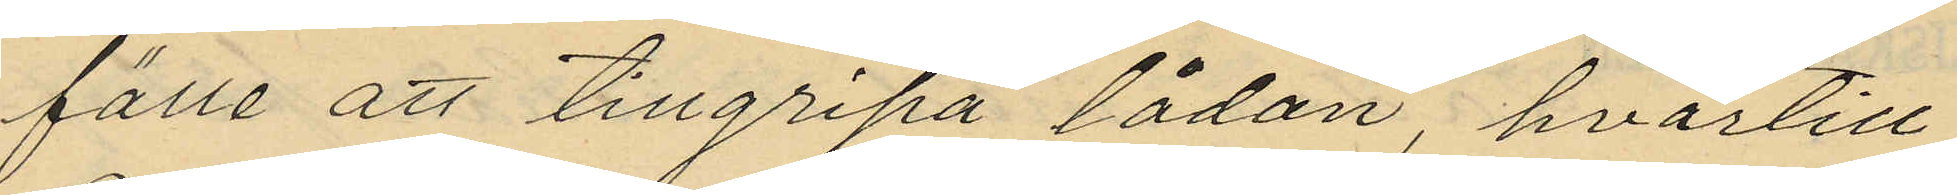fälte att tillgripa lådan, hvartill
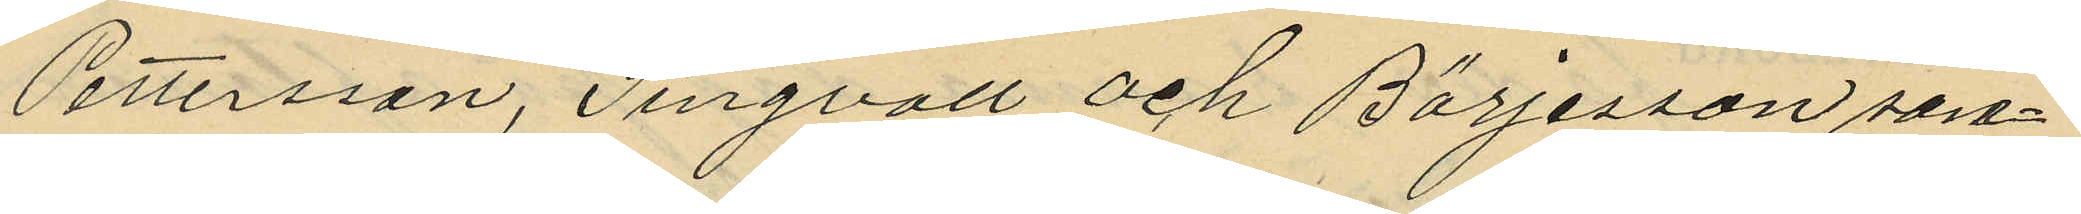Pettersson, Singvall och Börjesson sa¬
